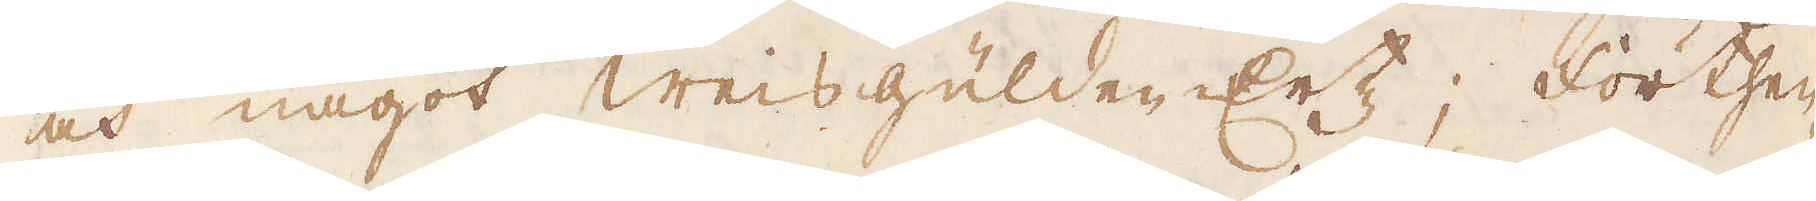och något weisgulden Ertz; Förthen
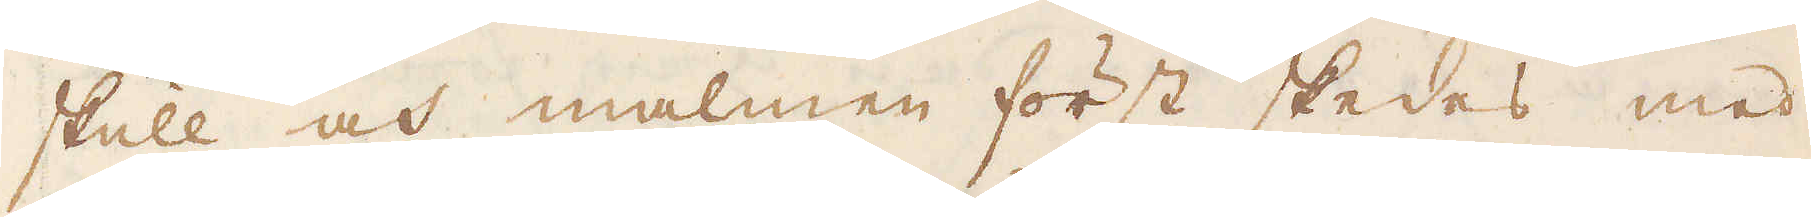skull och malmen först skedes med
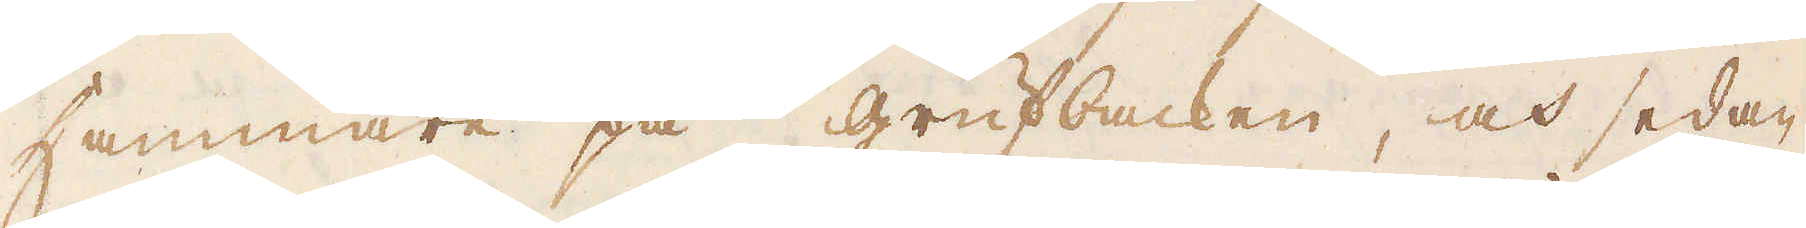Hammare på grufbacken, och sedan
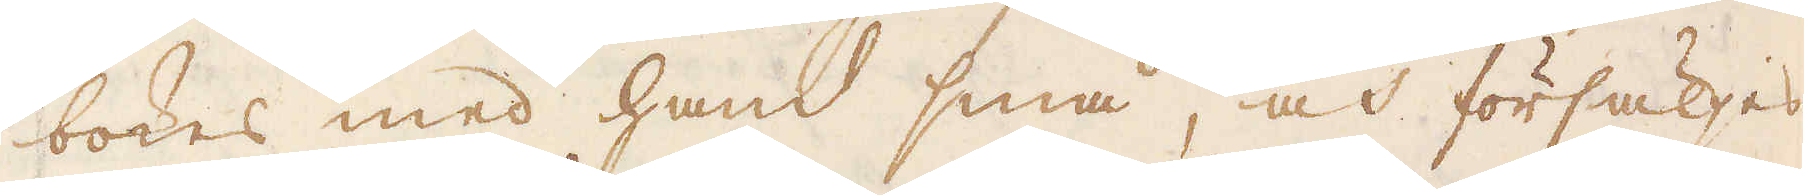bokes med hand små, och försäljes
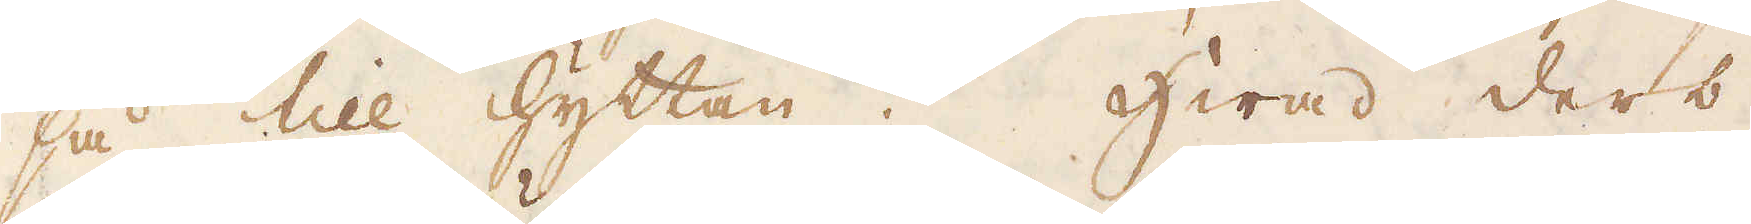så till hyttan. Hwad ders
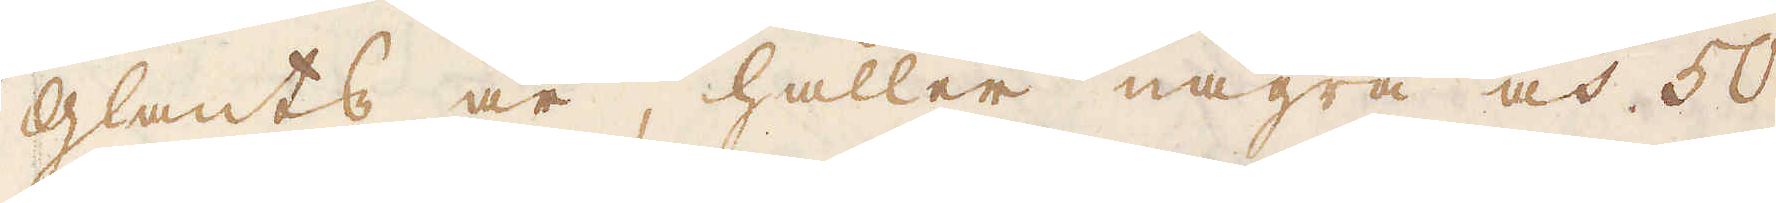glants år, håller några och 50
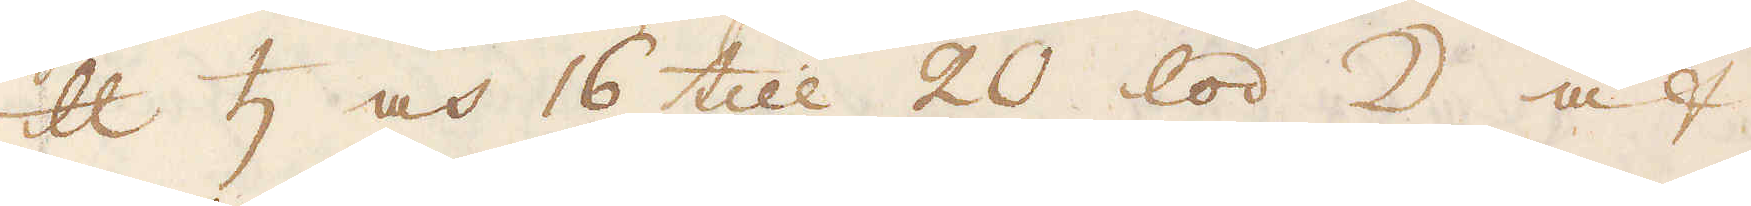skålpund ♄ och 16 till 20 lod ☽ af
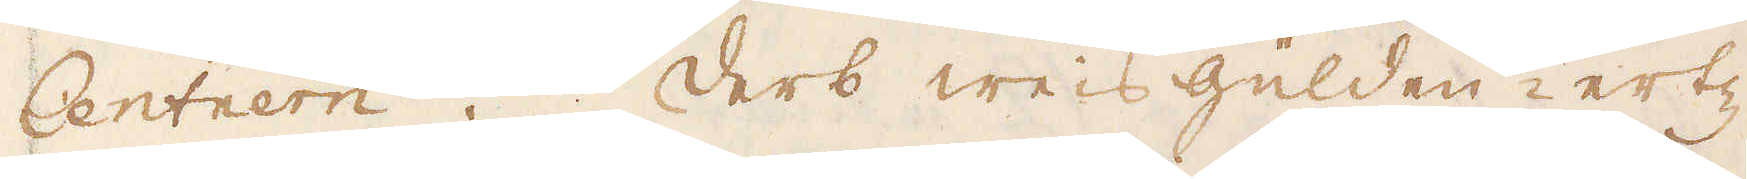Centnern. Ders weis Gülden ertz
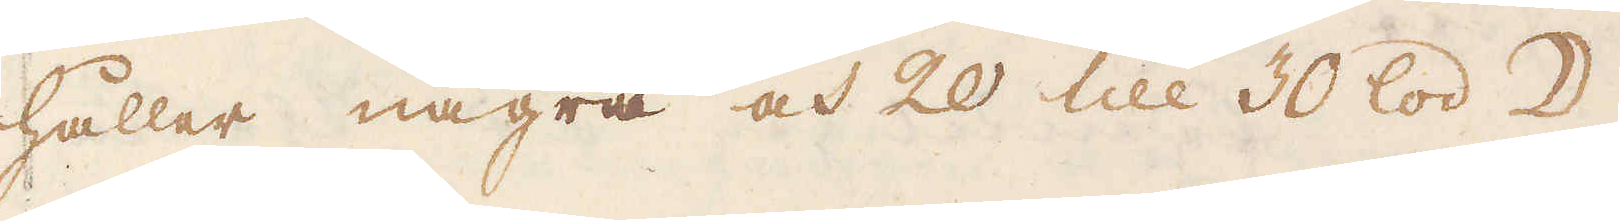håller några och 20 till 30 lod ☽.
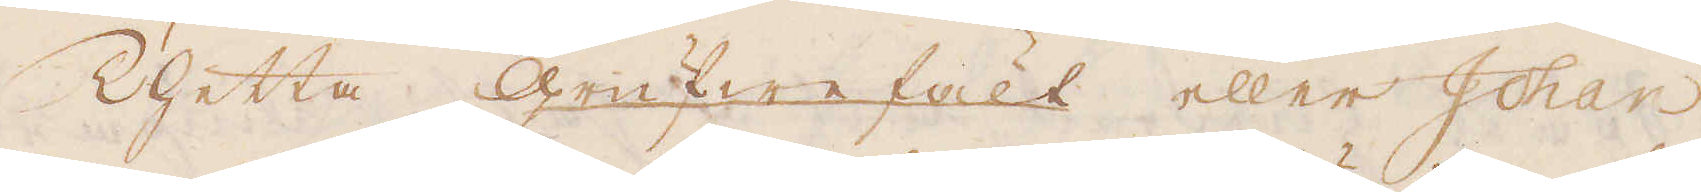Thetta Grufwe fält eller Johan
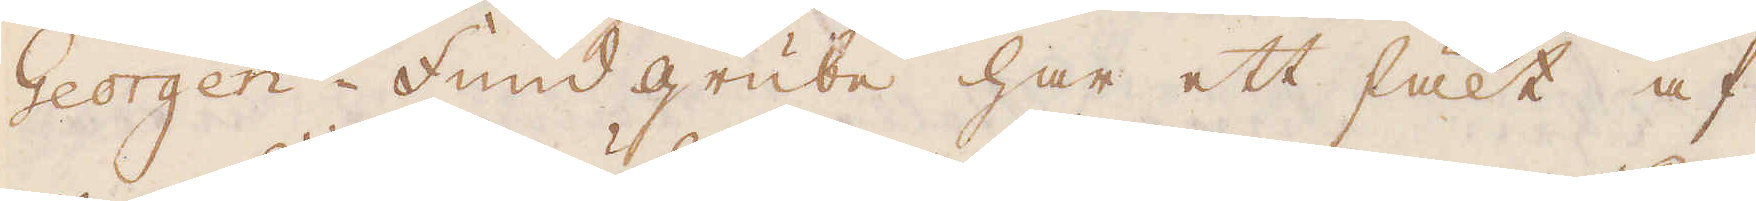Georgen-Fund grube har ett fält af
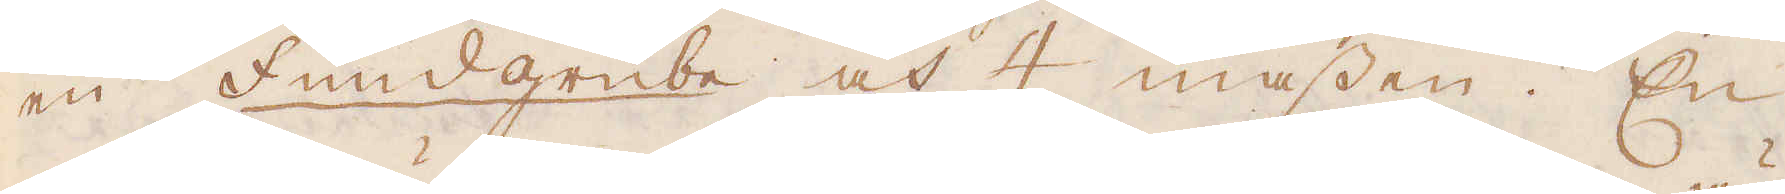en Fundgrube och 4 massen. En
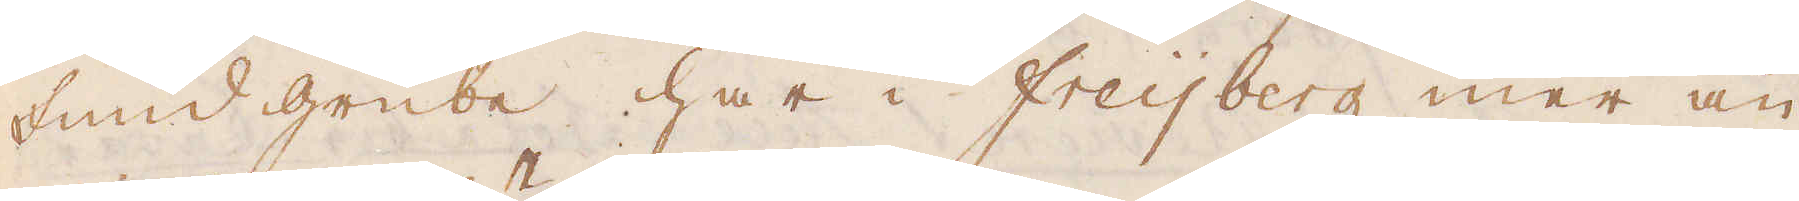fund grube har i Freijberg mer än
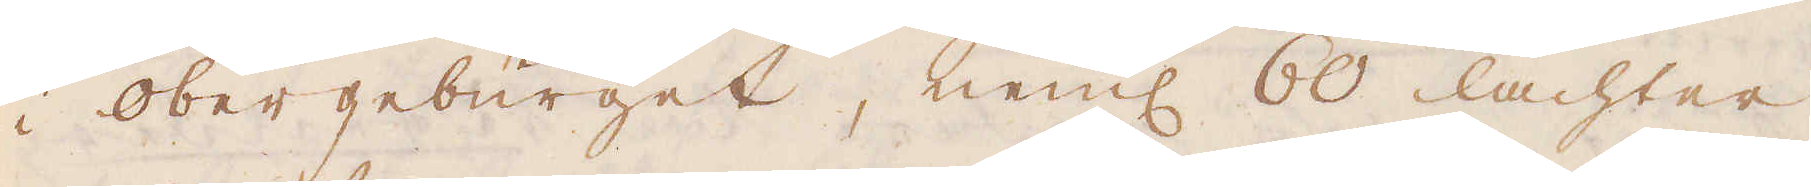i Obergebürget, neml 60 lachter
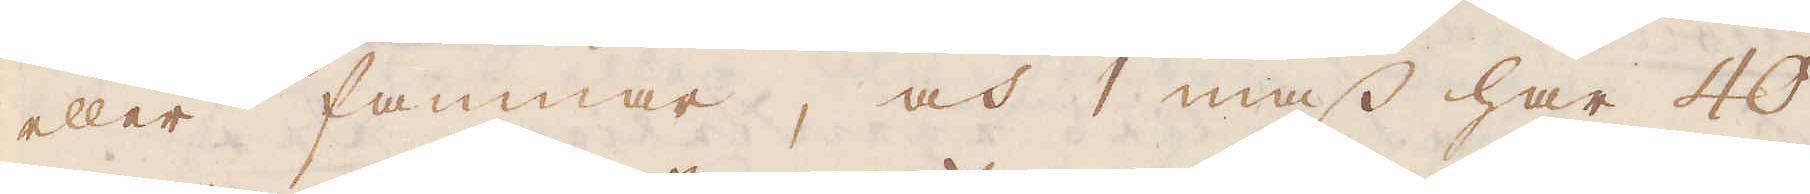eller famnar, och 1 mass har 40
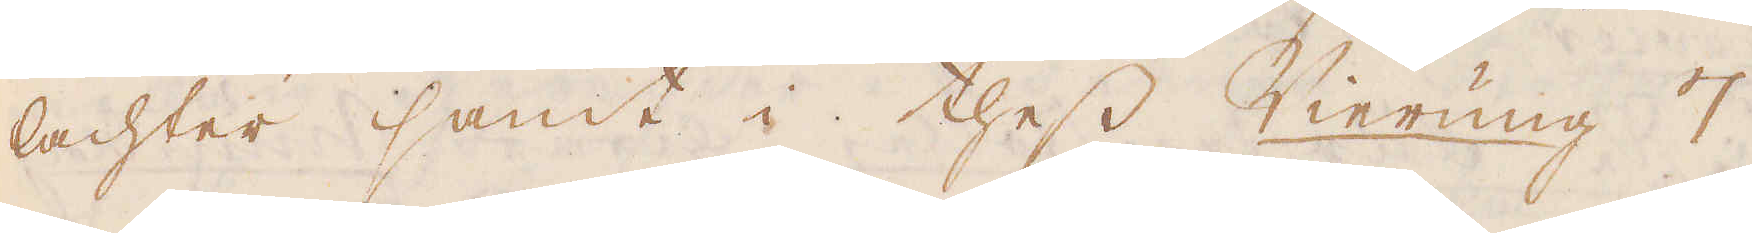lachter samt i thess Vierung 7
